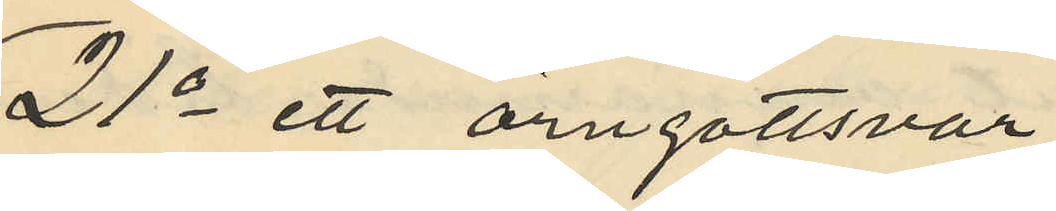21o ett örngottsvar
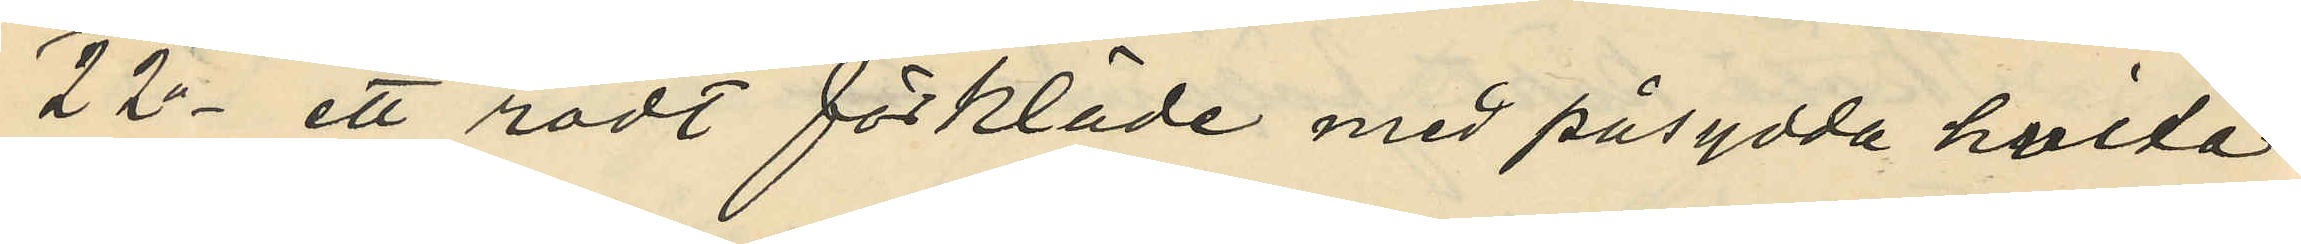22o ett rödt förkläde med påsydda hvita
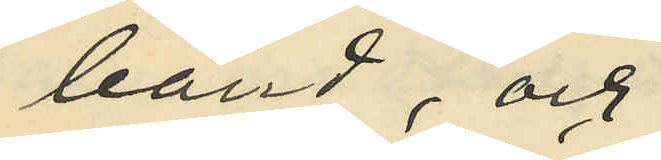band; och
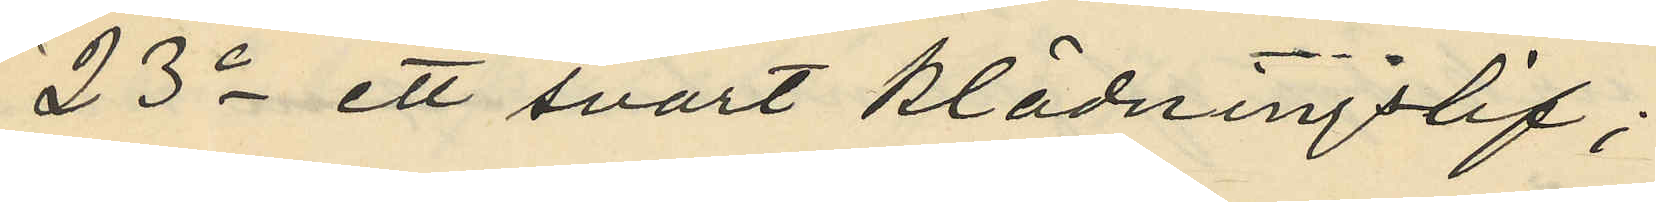23o ett svart klädningslif;
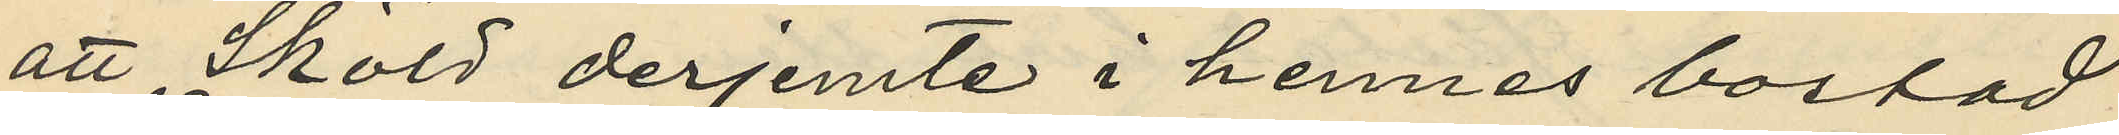att Sköld derjemte i hennes bostad
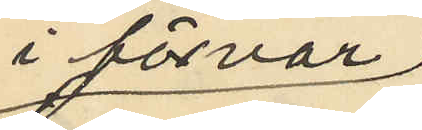i förvar
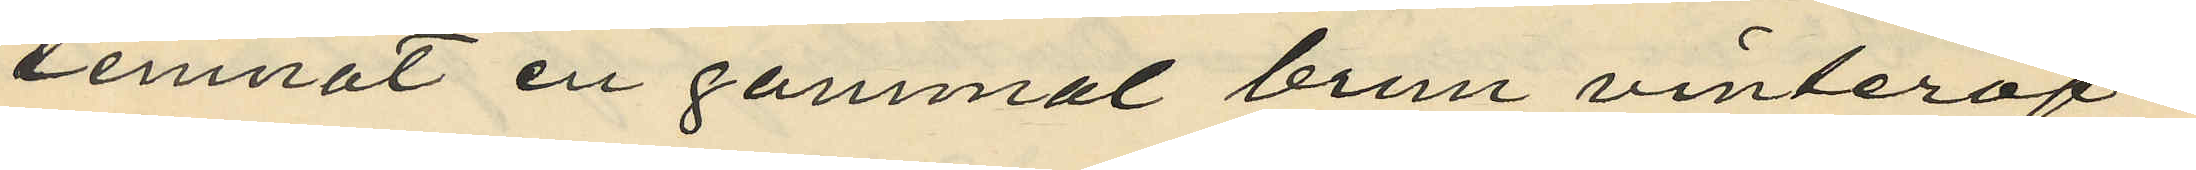lemnat en gammal brun vinteröf¬
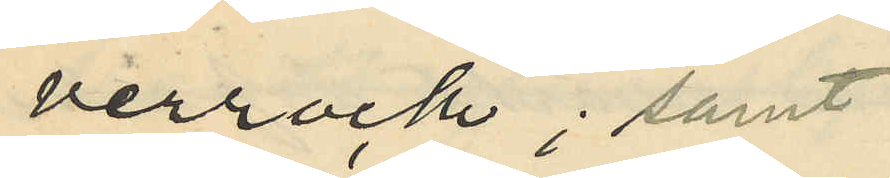verrock; samt
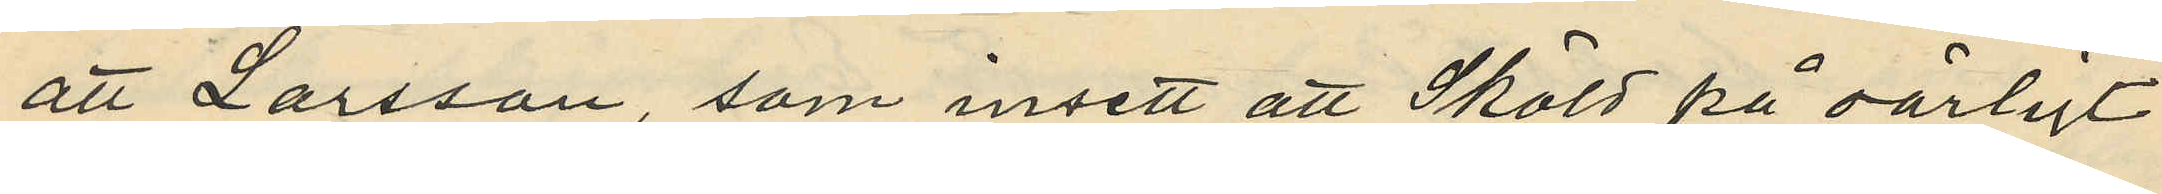att Larsson, som insett att Sköld på oärligt
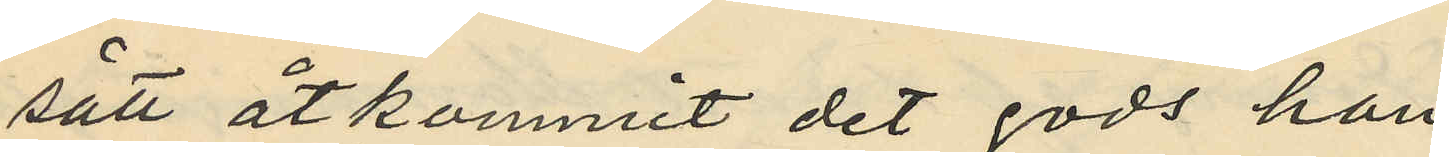sätt åtkommit det gods han
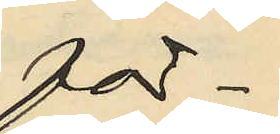för¬
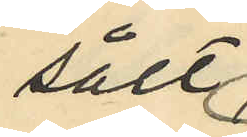sålt
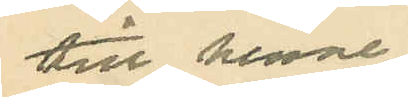till henne
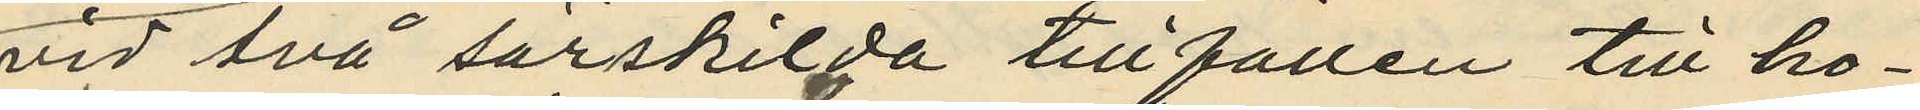vid två särskilda tillfällen till ho¬
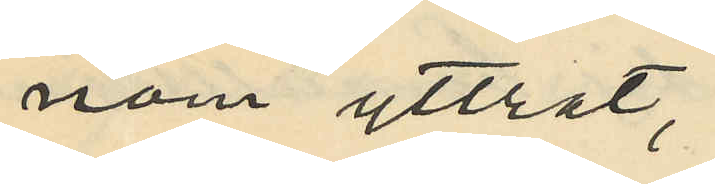nom yttrat:
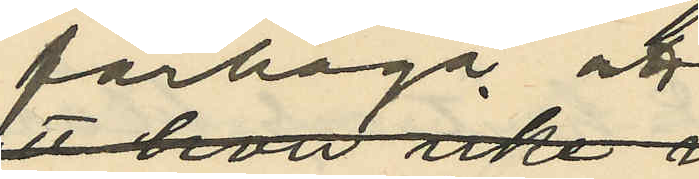farhåga att
